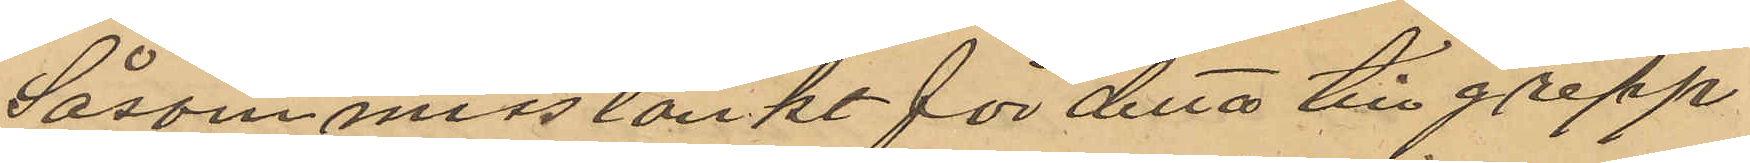Såsom misstänkt för detta tillgrepp
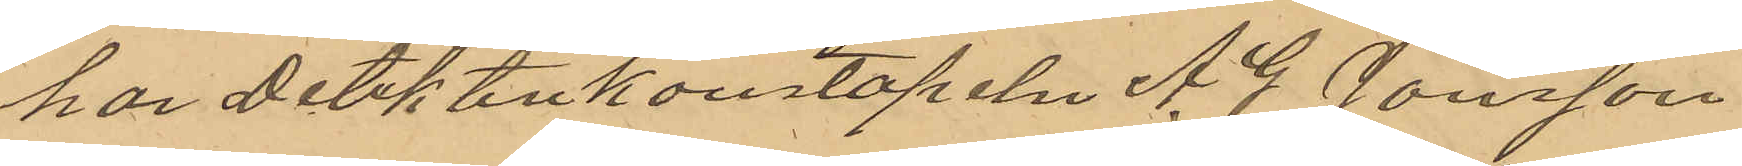har Detektivkonstapeln A. J. Jönsson
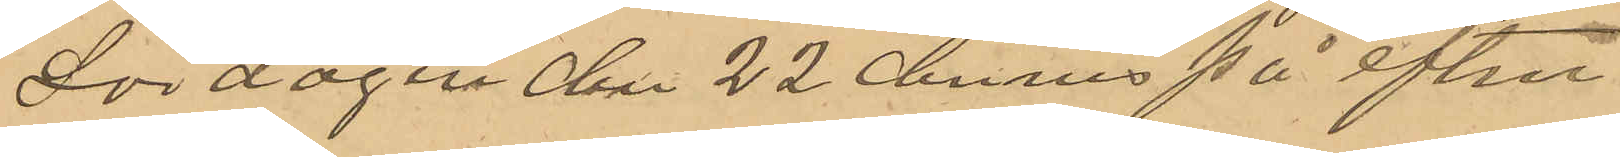Lördagen den 22 dennes på efter
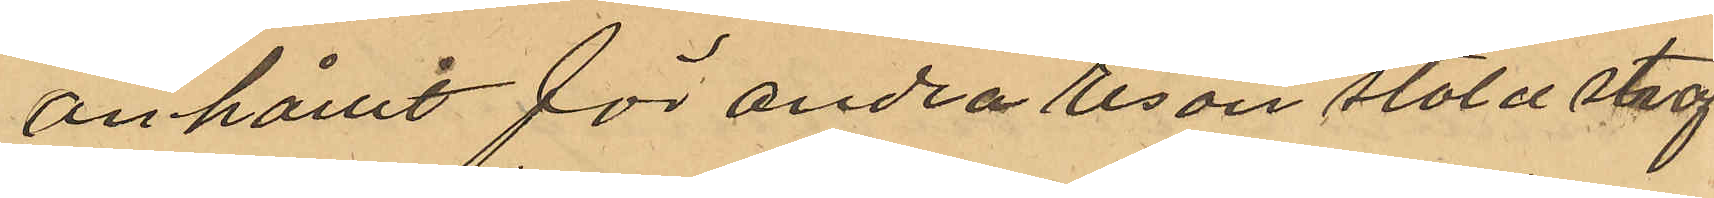anhållit för andra resan stöld straf¬
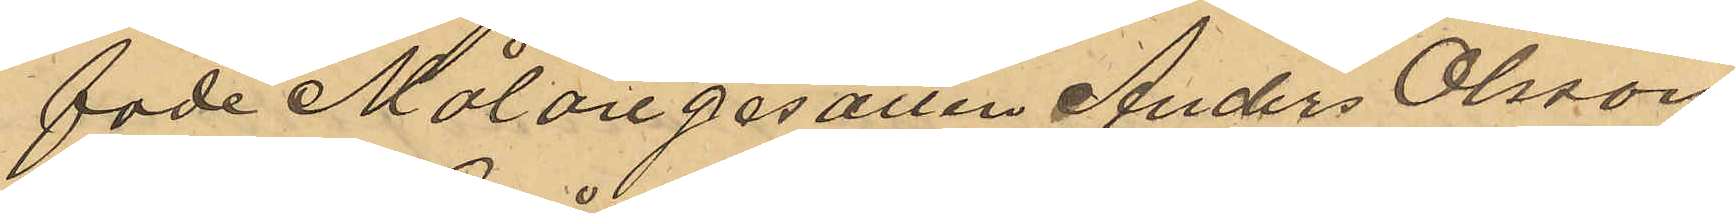fade Målaregesällen Anders Olsson
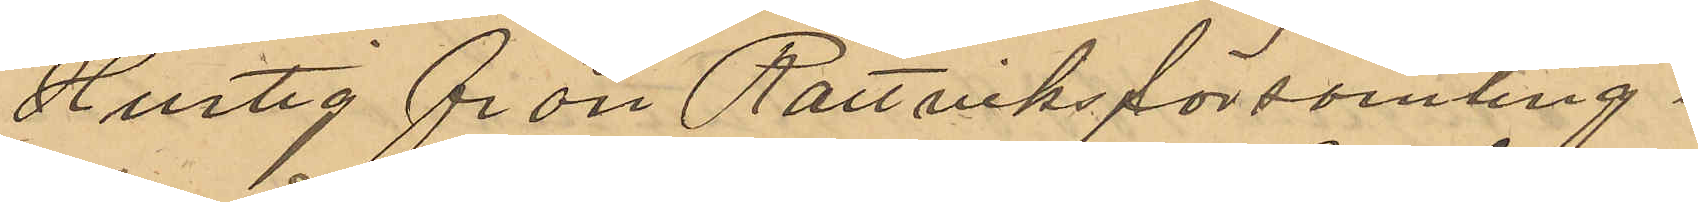Hurtig från Rättviks församling i 
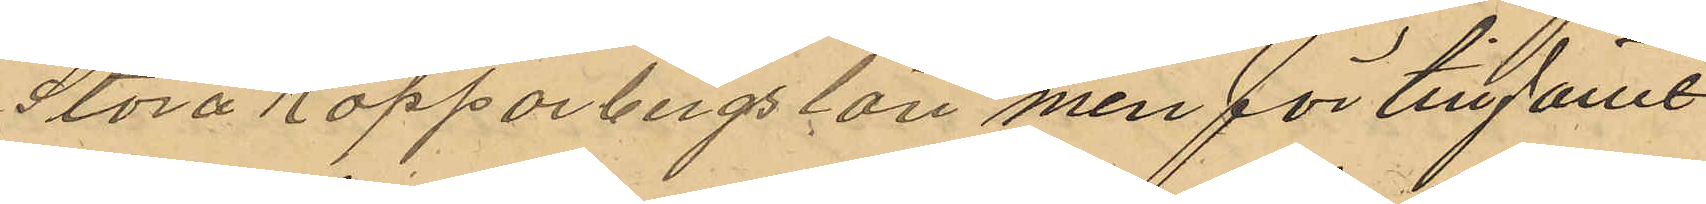Stora Kopparbergs län men för tillfället
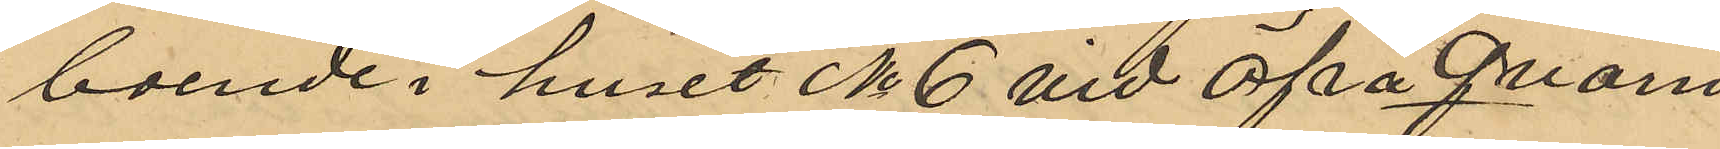boende i huset No 6 vid Öfra Qvarn¬
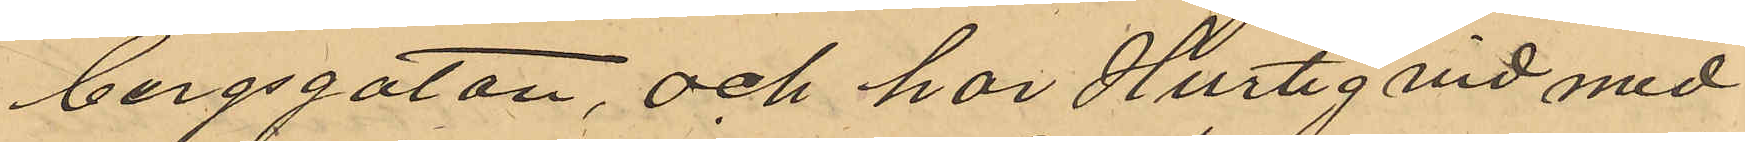bergsgatan, och har Hurtig vid med
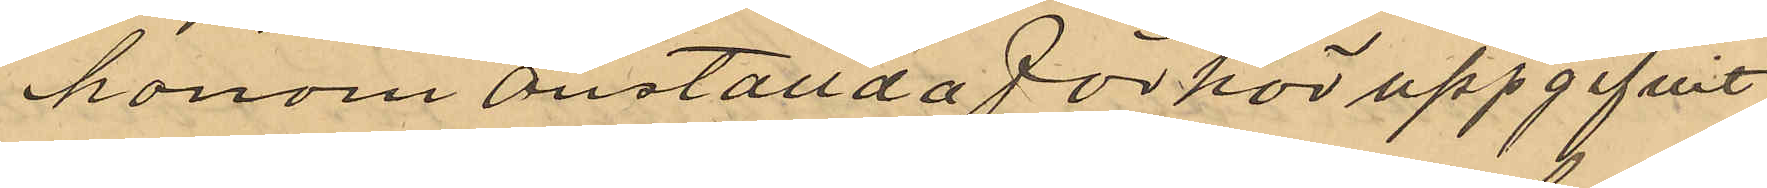honom anställd förhör uppgifvit
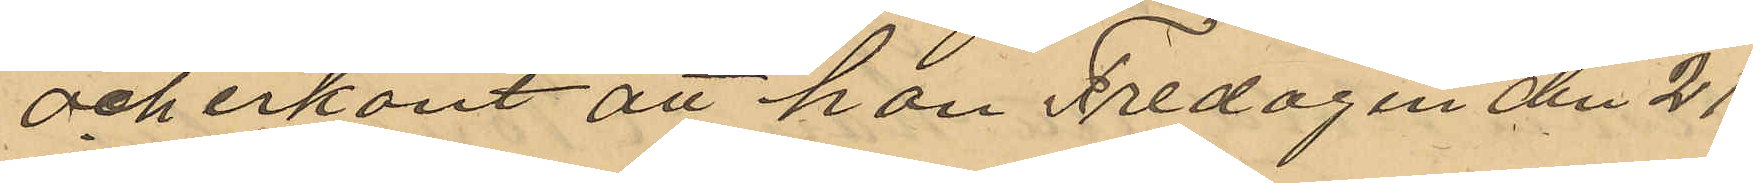och erkänt att han Fredagen den 21
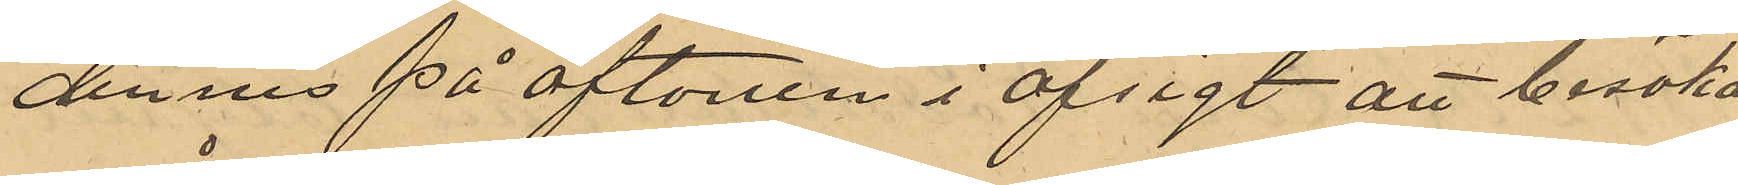dennes på aftonen i afsigt att besöka
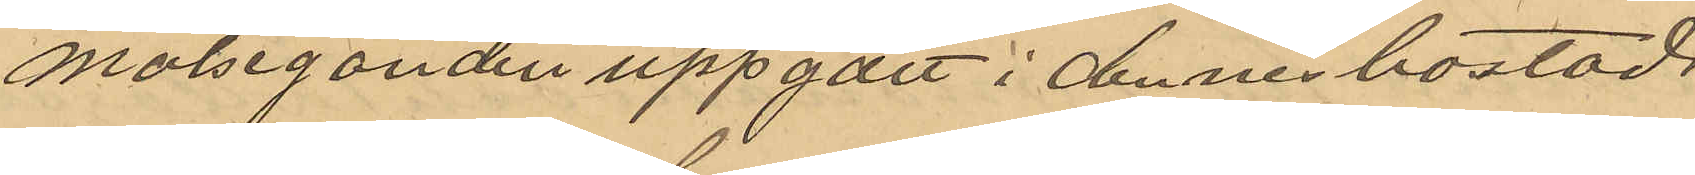målseganden uppgått i dennes bostad
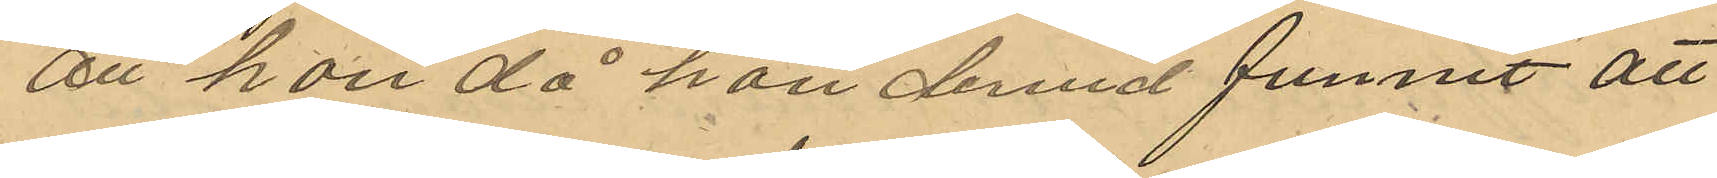att han då han dervid funnit att
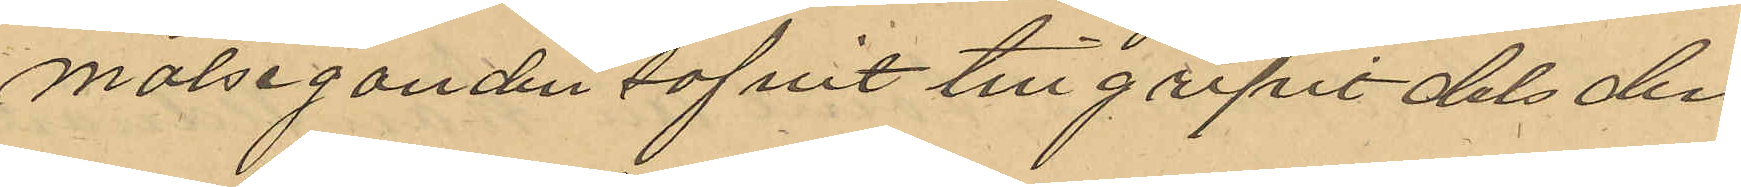målseganden sofvit tillgripit dels den
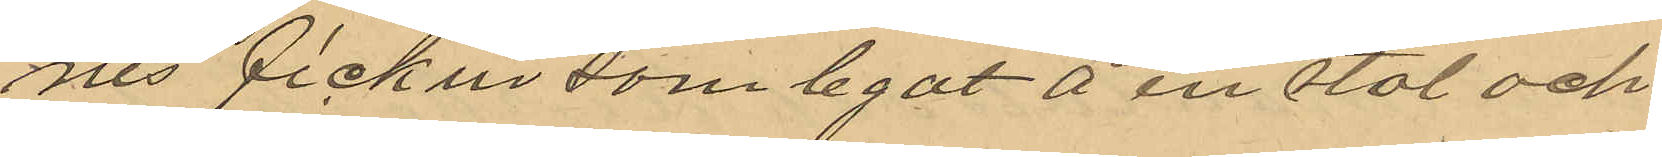nes fickur som legat på en stol och
